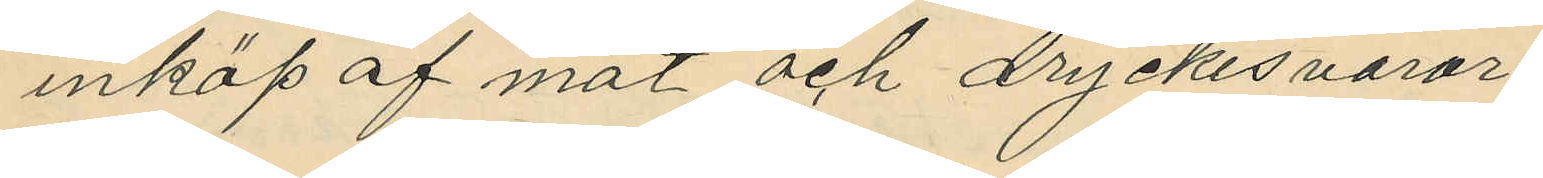inköp af mat och dryckesvaror.
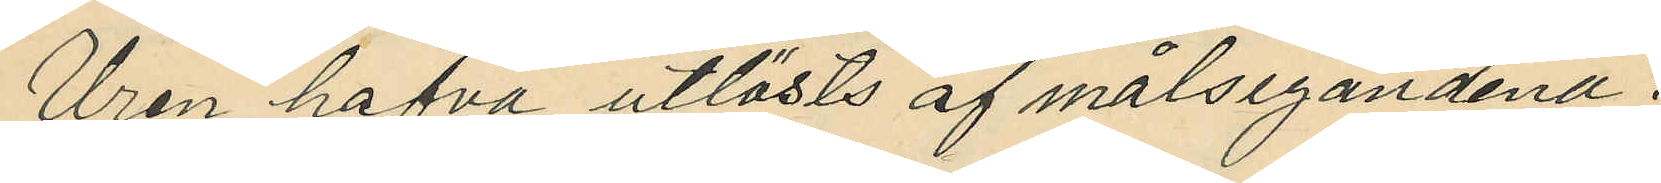Uren hafva utlösts af målsegandena.
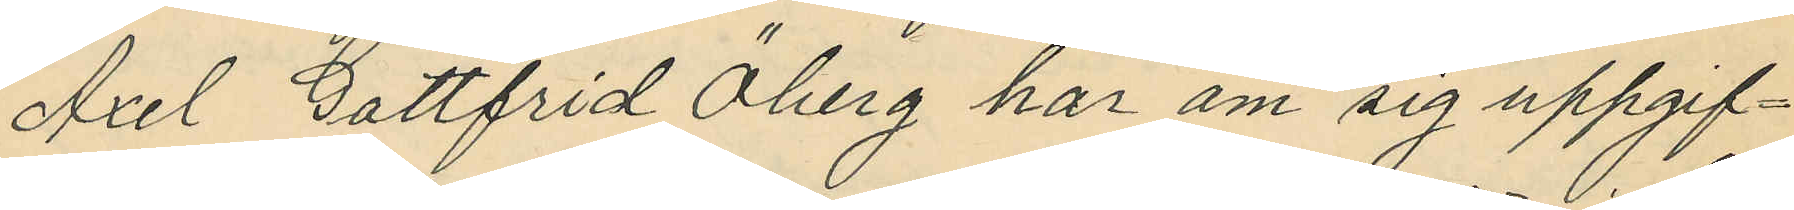Axel Gottfrid Öberg har om sig uppgif¬
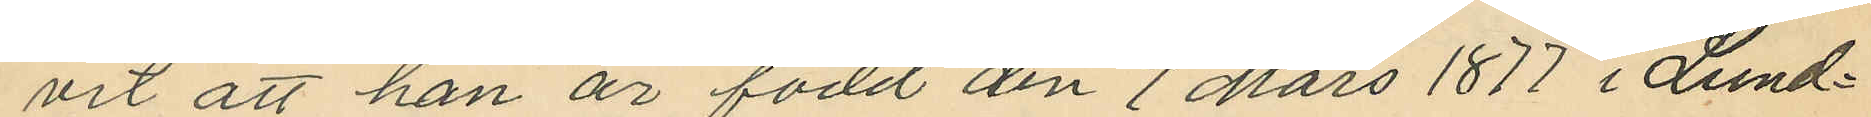vit att han är född den 9 Mars 1877 i Lund¬
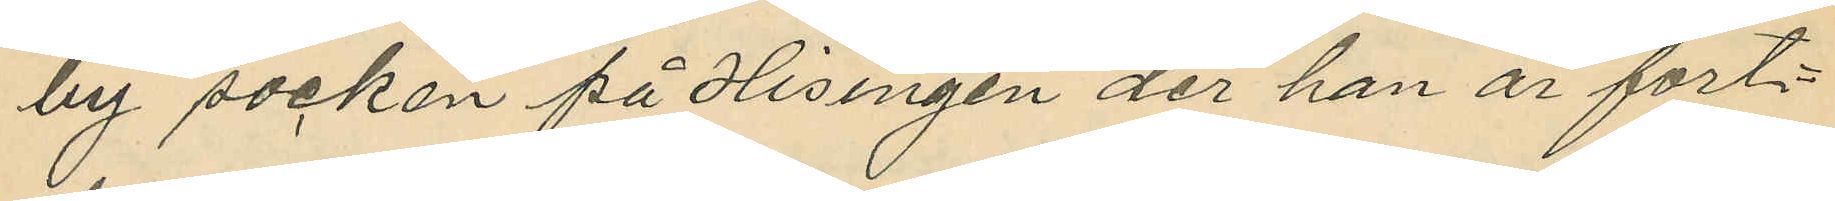by socken på Hisingen der han är fort¬
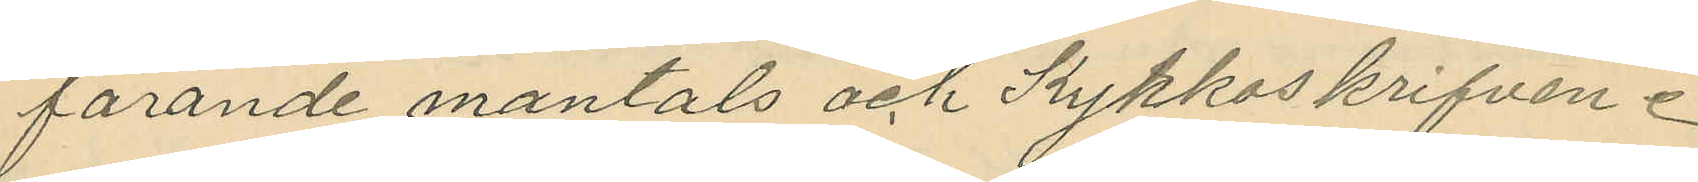farande mantals och kyrkoskrifven.
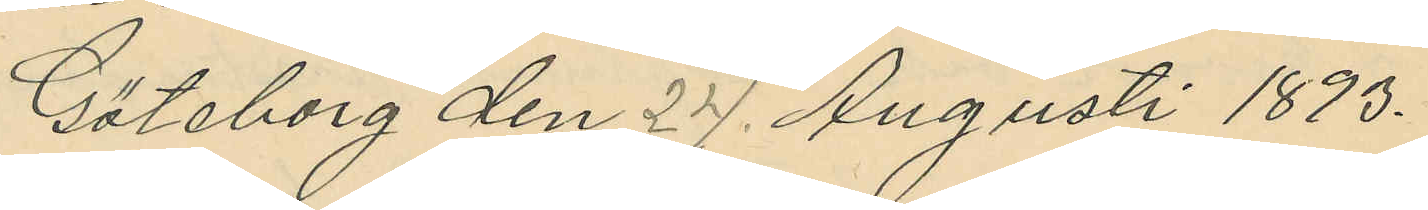Göteborg den 24. Augusti 1893.
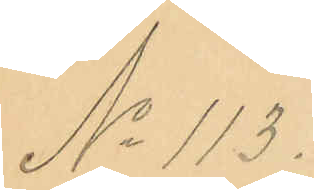No 113.
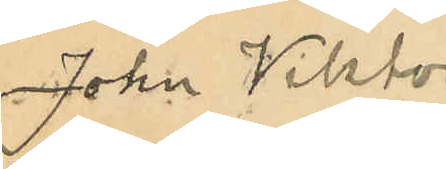John Viktor
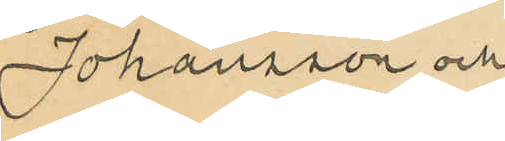Johansson och
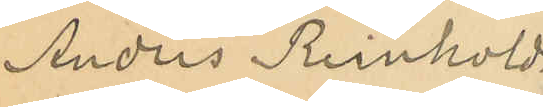Anders Reinhold
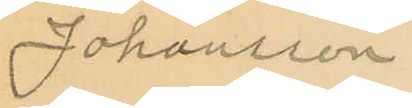Johansson
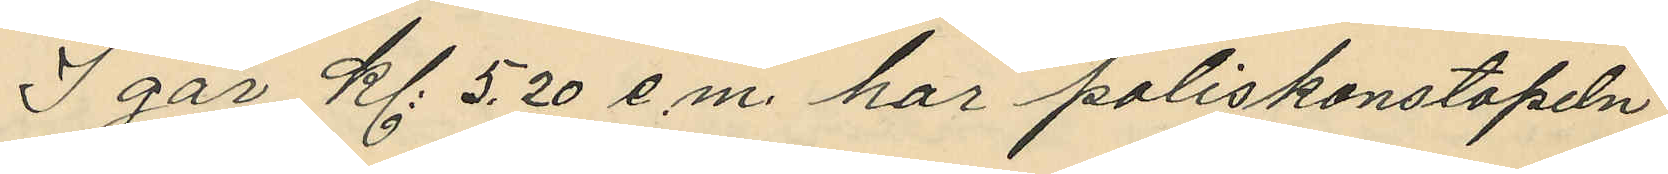I går kl. 5,20 e.m. har poliskonstapeln
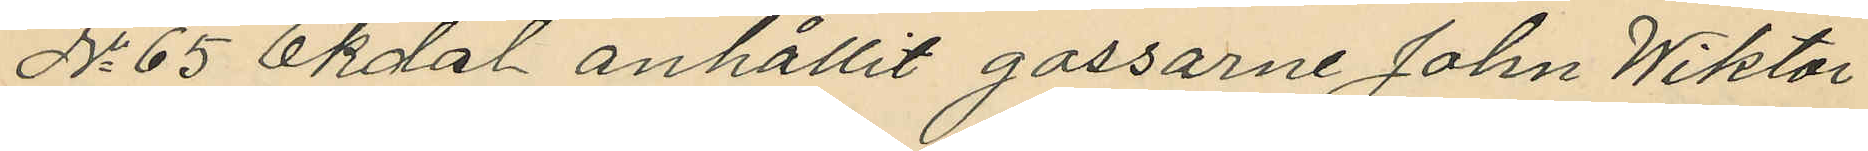No 65 Ekdal anhållit gossarne John Wiktor
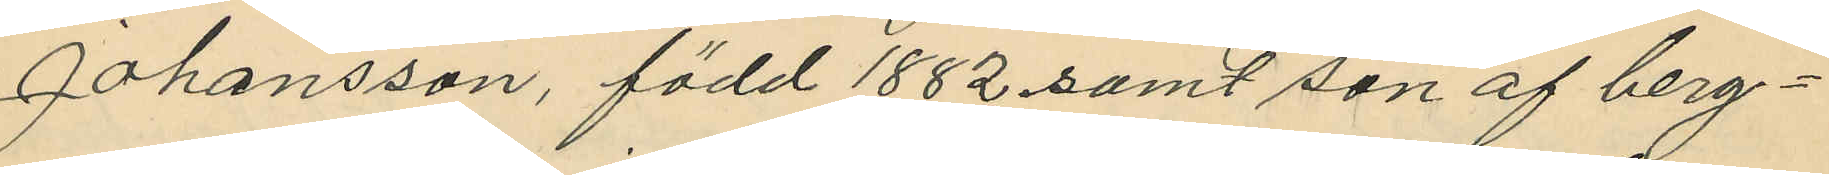Johansson, född 1882 samt son af berg¬
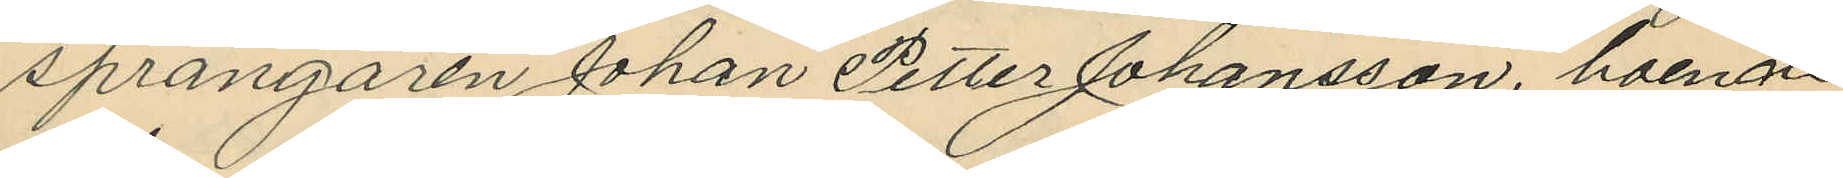sprängaren Johan Petter Johansson, boende
